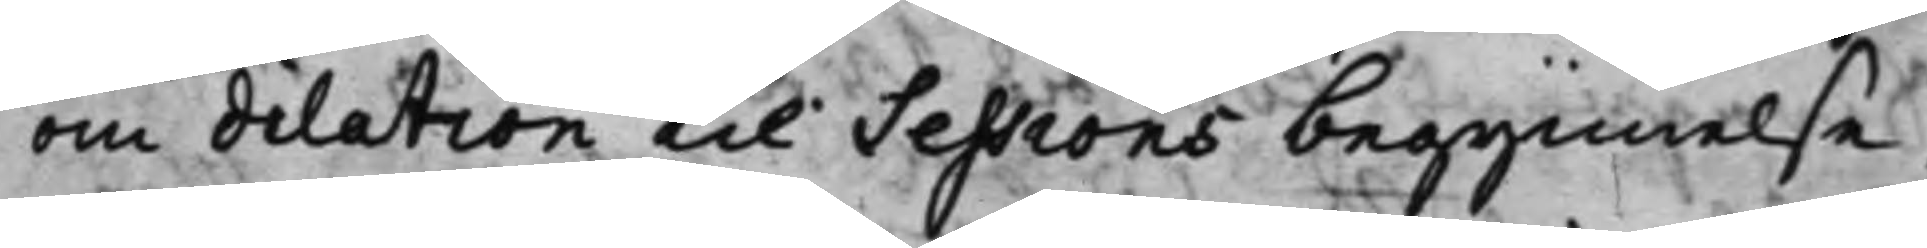om dilation til Sessions begynnelse,
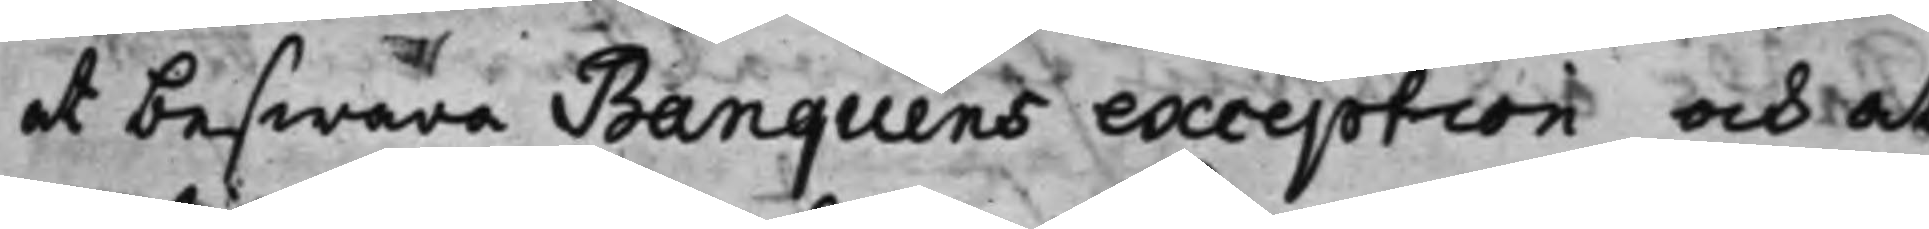at beswara Banquens exception och at
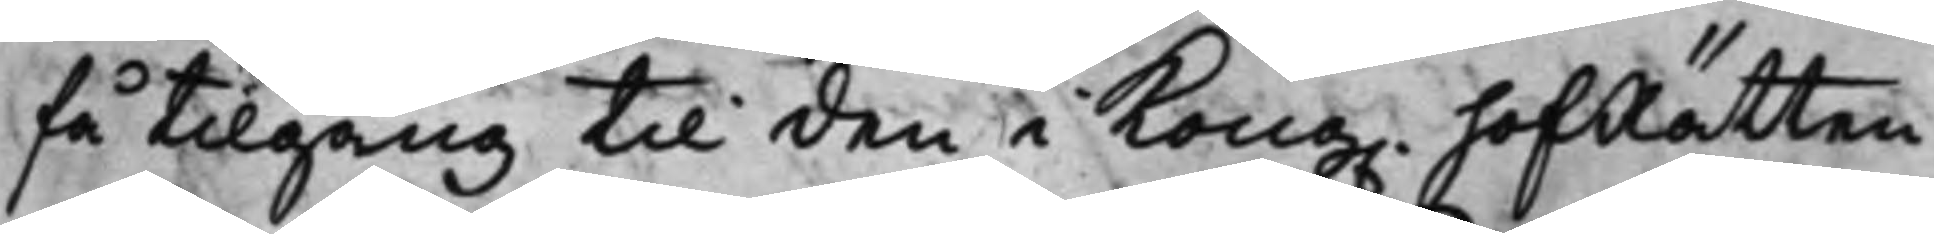få tillgång till den i Kong. HofRätten
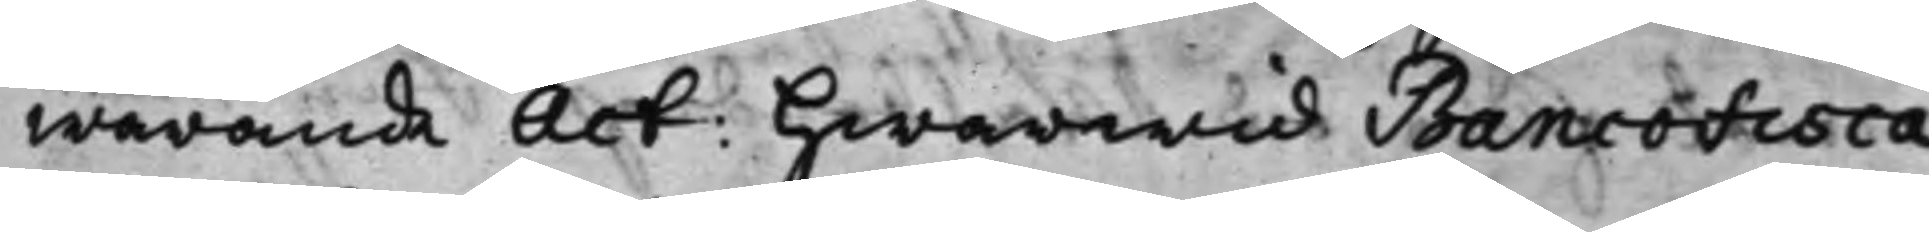warande Act: hwarwid Bancofisca¬
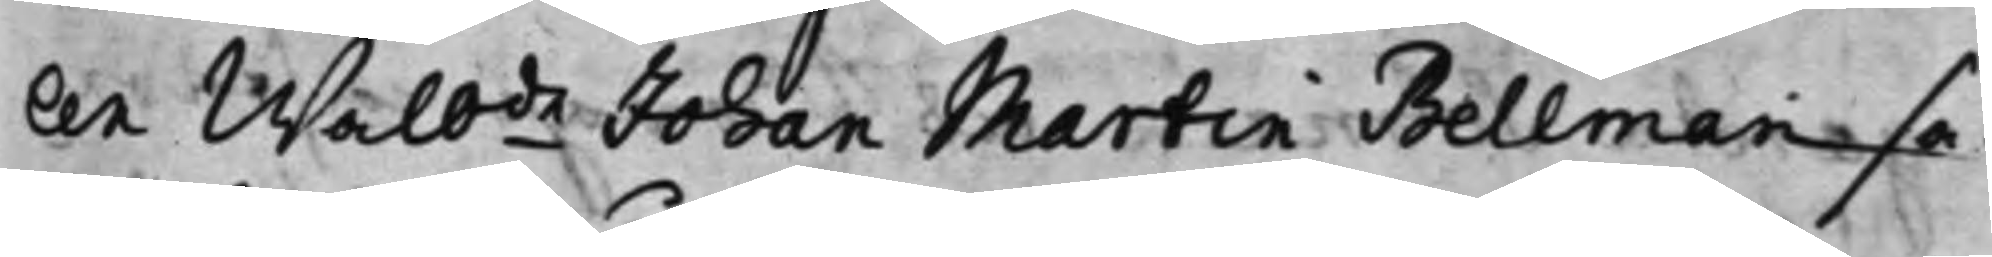len Wälbde Johan Martin Bellman sa¬
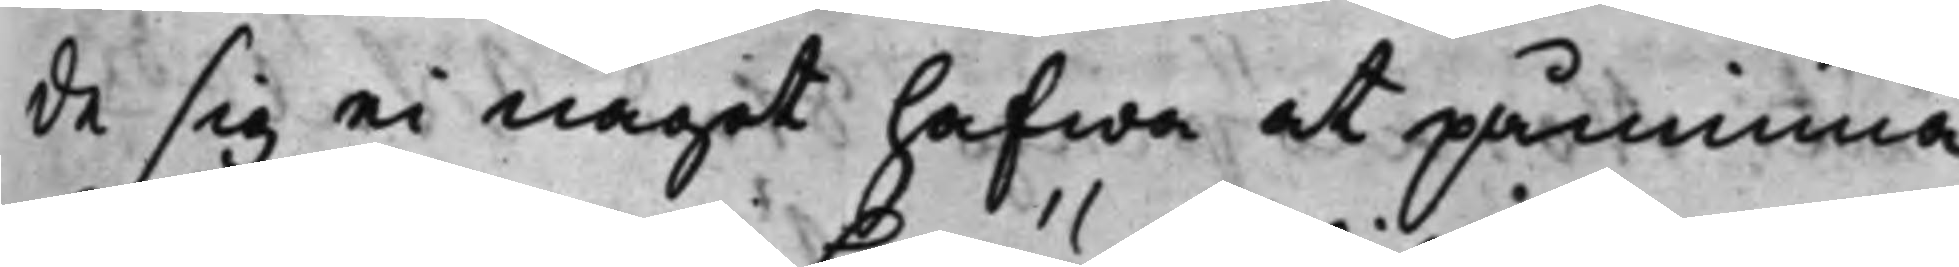de sig ei något hafwa at påminna
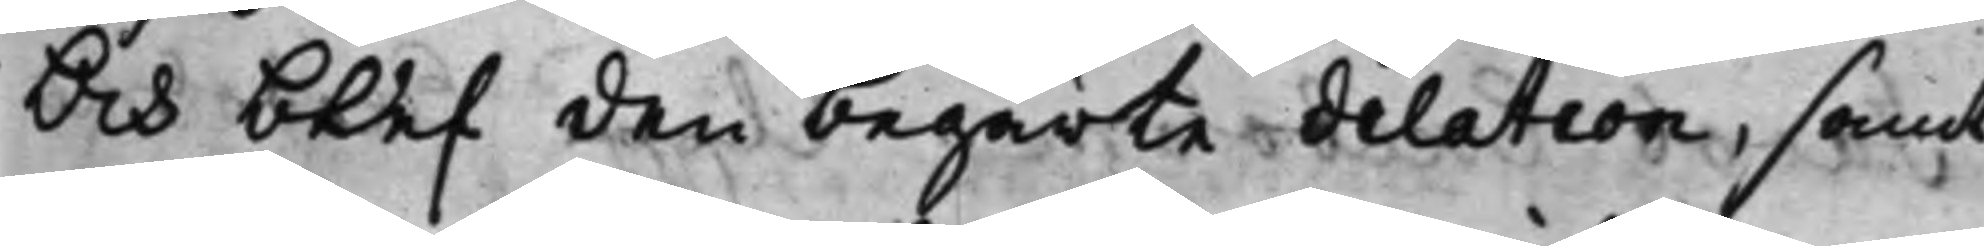Och blef den begärte dilation, samt
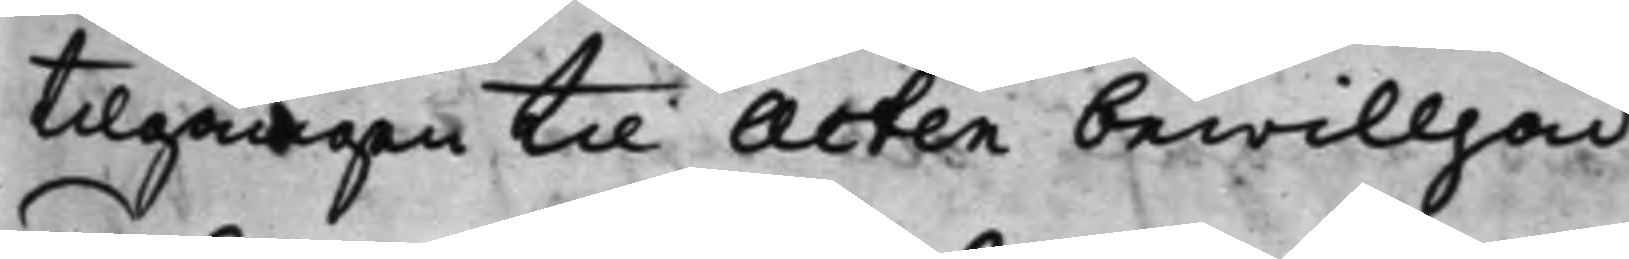tilgången till Acten bewilljad.
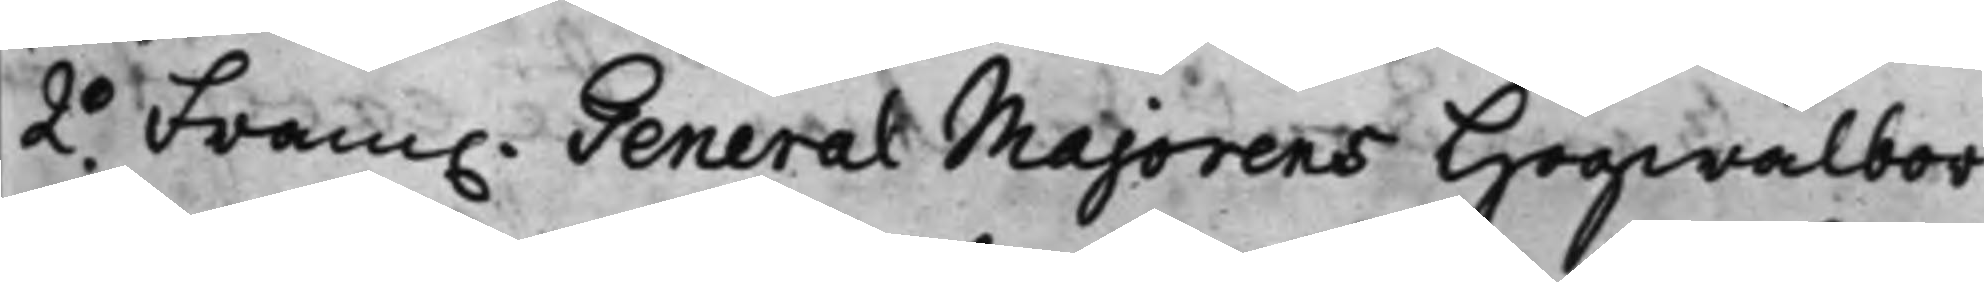2.o Fram. General Majorens Högwälbor¬
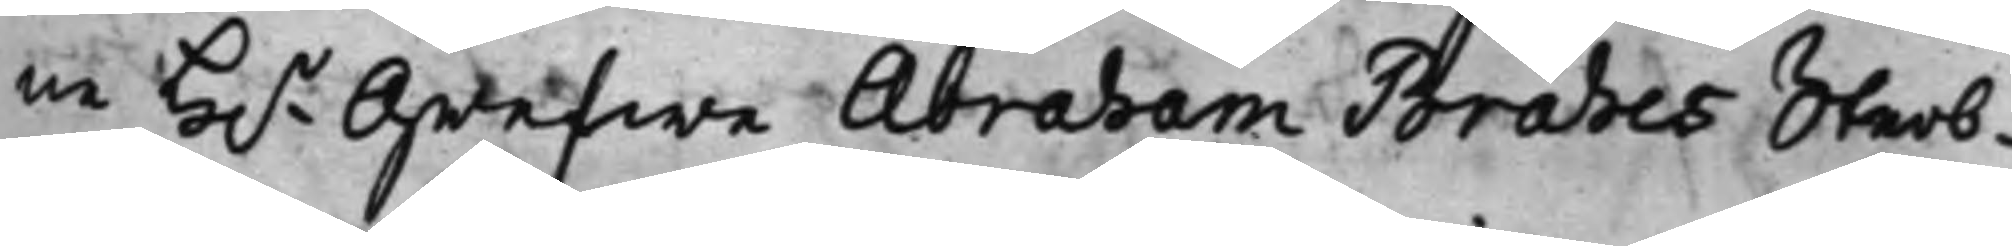ne H.r Grefwe Abraham Brahes Sterb¬
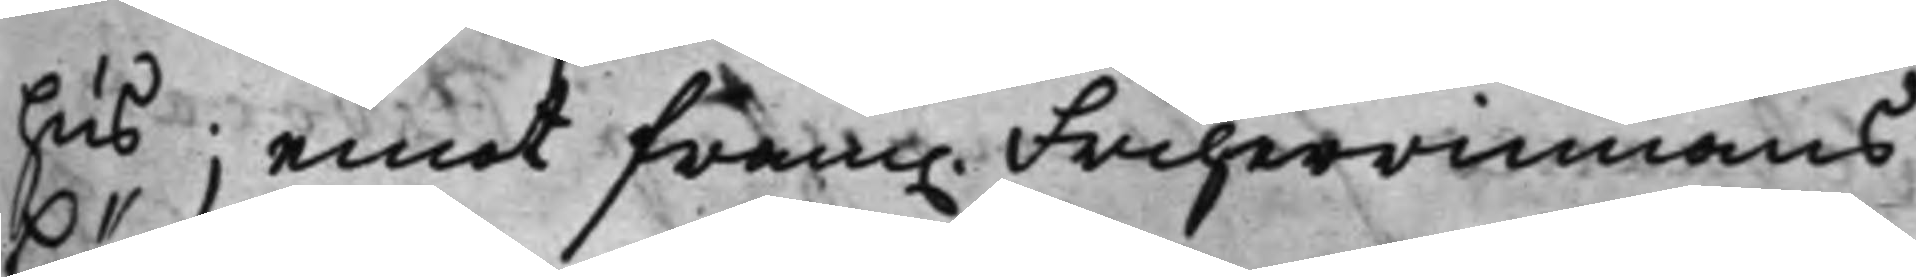hus; emot fram. Friherrinnans
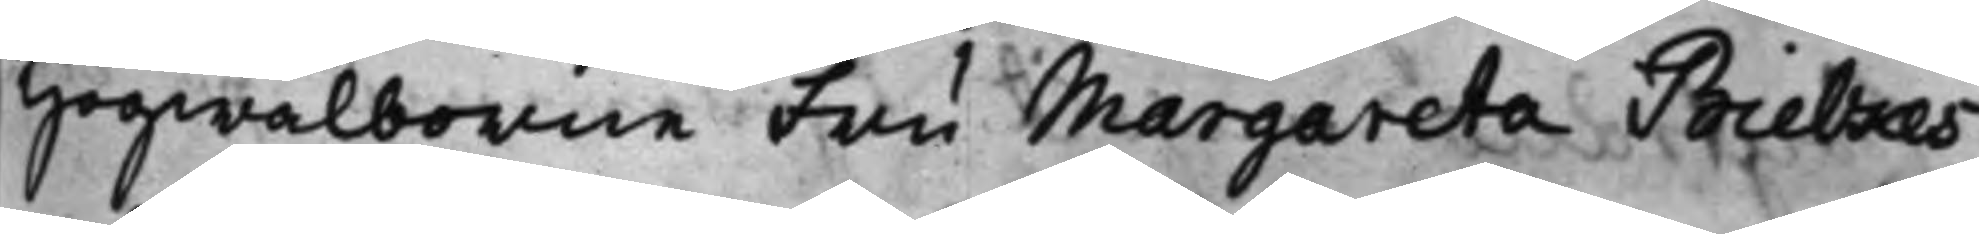Högwälborne Fru Margareta Bielkes
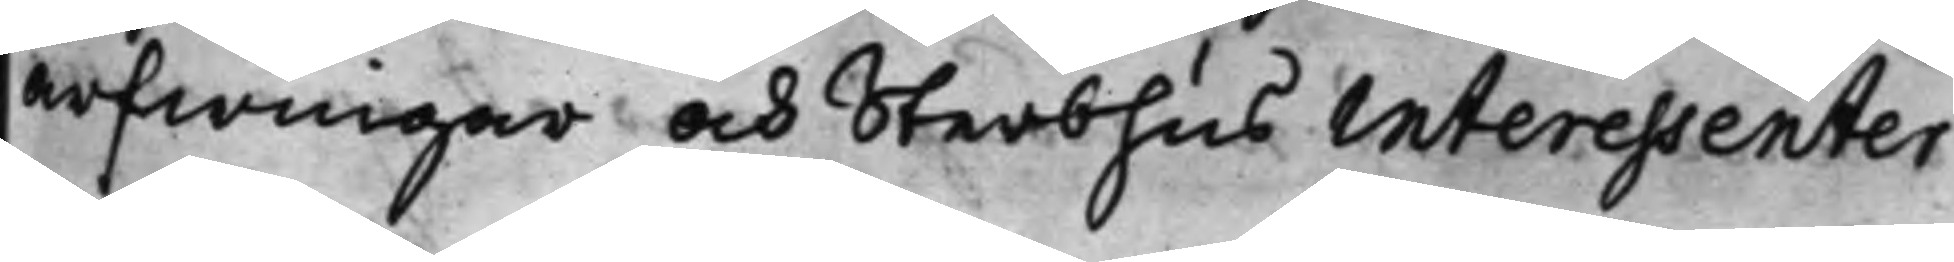arfwingar och Sterbhus interessenter
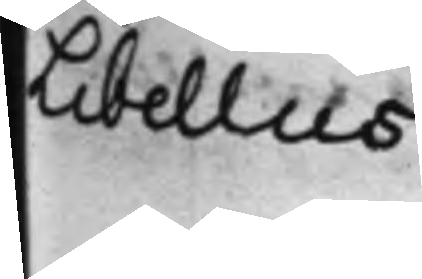Libellus
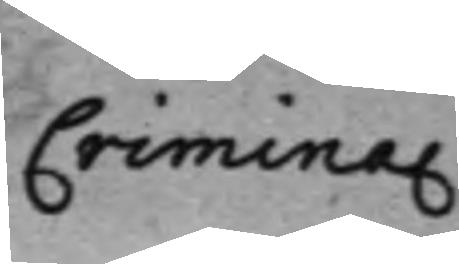Criminal.
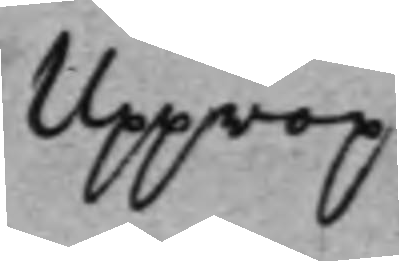Upprop
